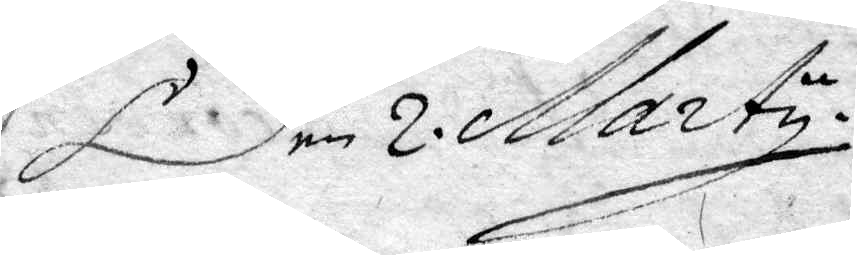Den 2 Marty.
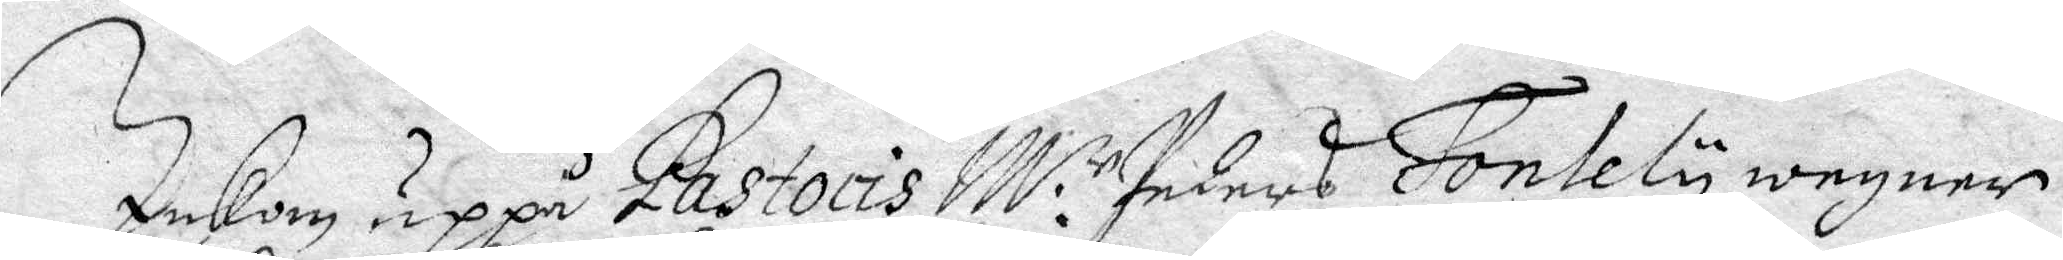Inkom uppå Pastoris M:r Peders Fontely wegner
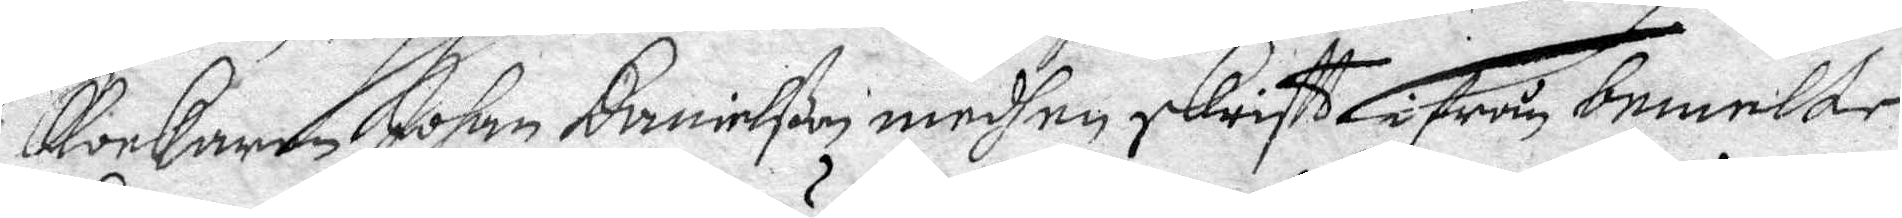klockaren Johan Danielßon medh en skriftt ifrån bemelte
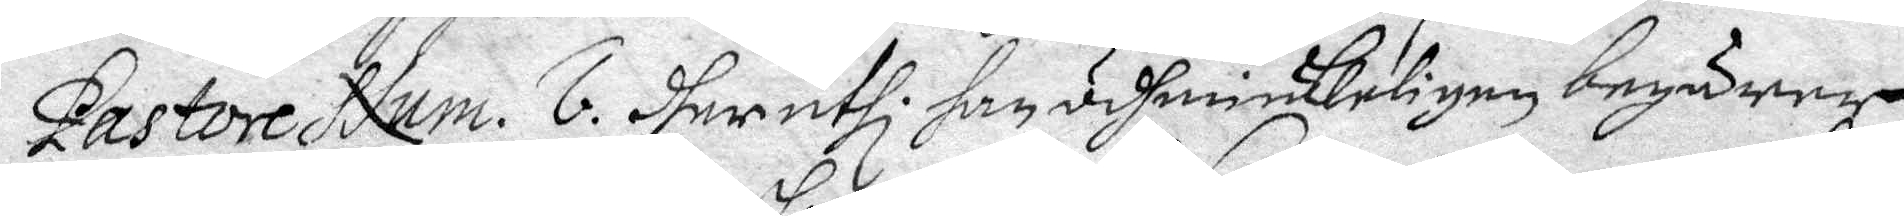Pastore Num. 6. dheruthi han ödmiukeligen begärer
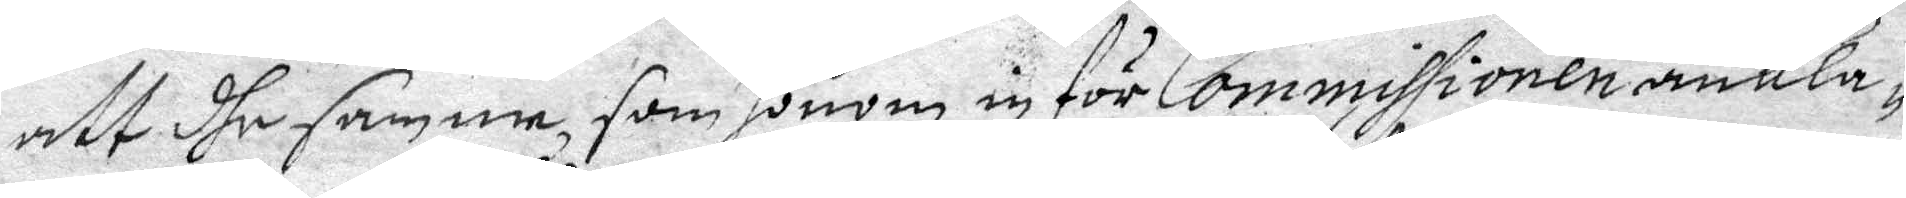att dhe samme som honom in för Commissionen ankla¬
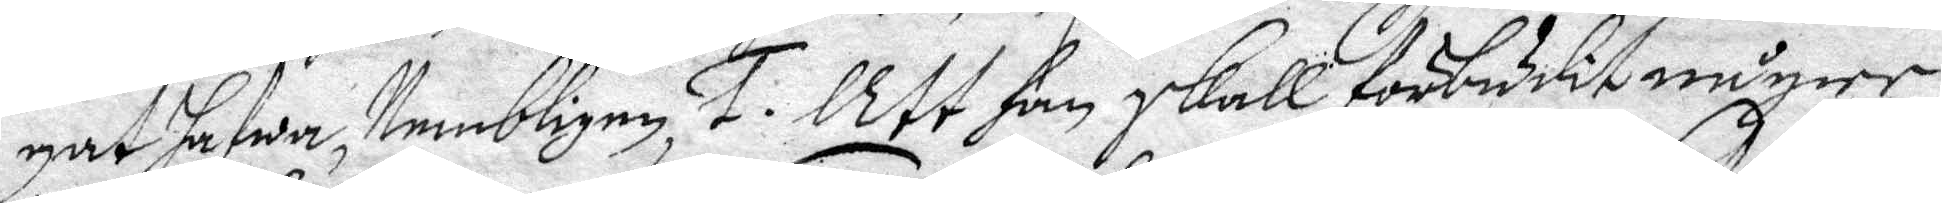gat hafwer, Nembligen, 1. Att han skall färbudit någre
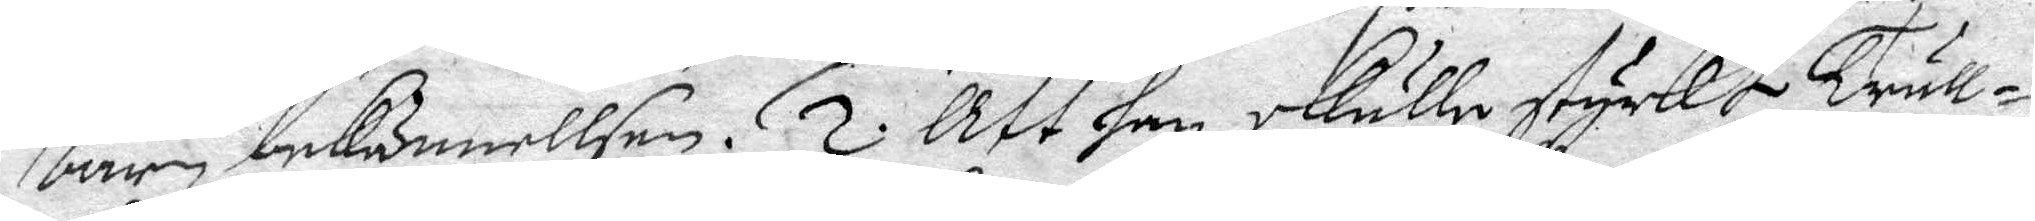barn bekännellsen. 2. Att han skulle styrkt Trull¬
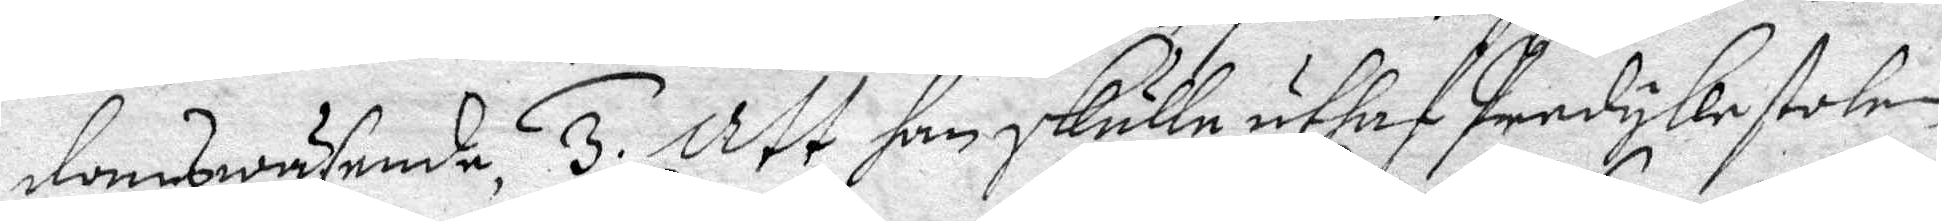domswäsende, 3. Att han skulle uthaf Predykestole
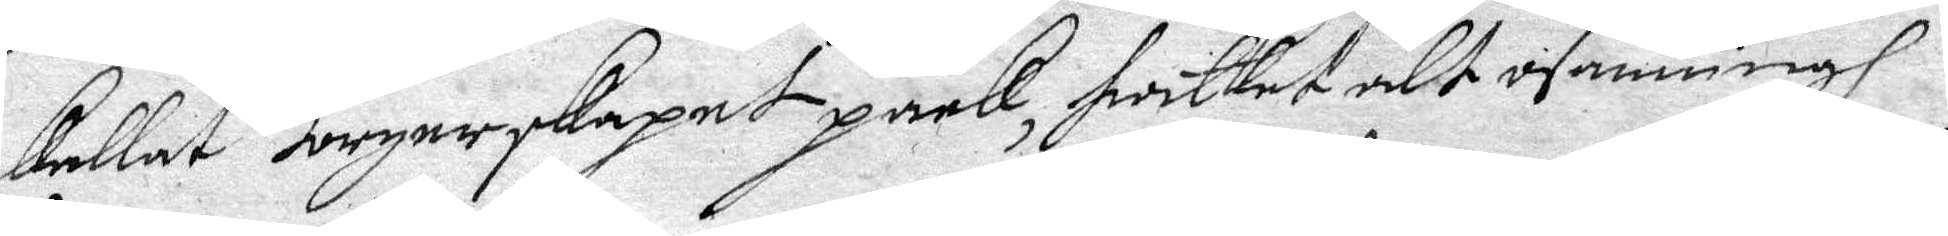kallat Borgerskapet paak, hwilket alt osanningh
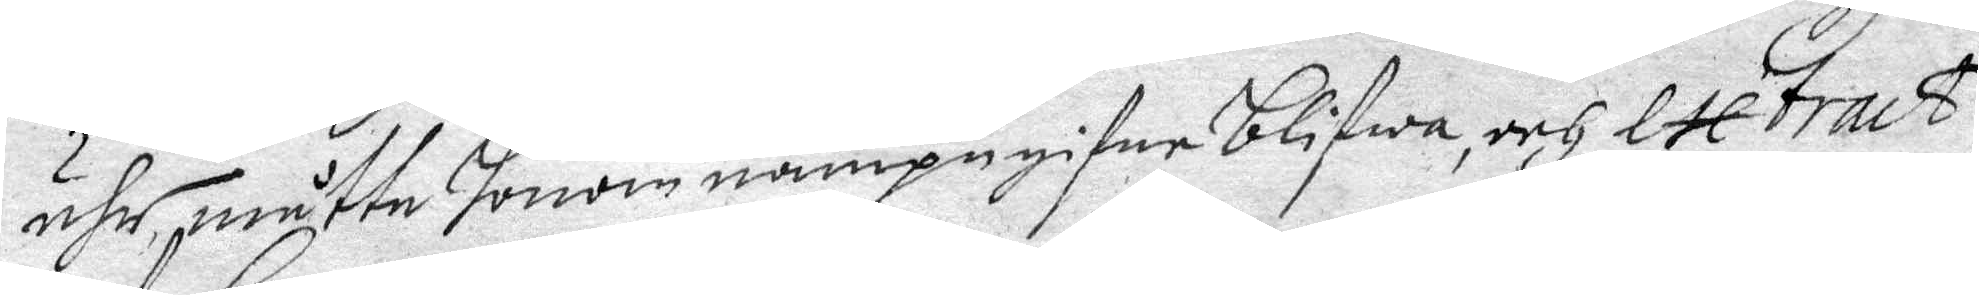ähr, måtte honom nampegifne blifwa, och extract
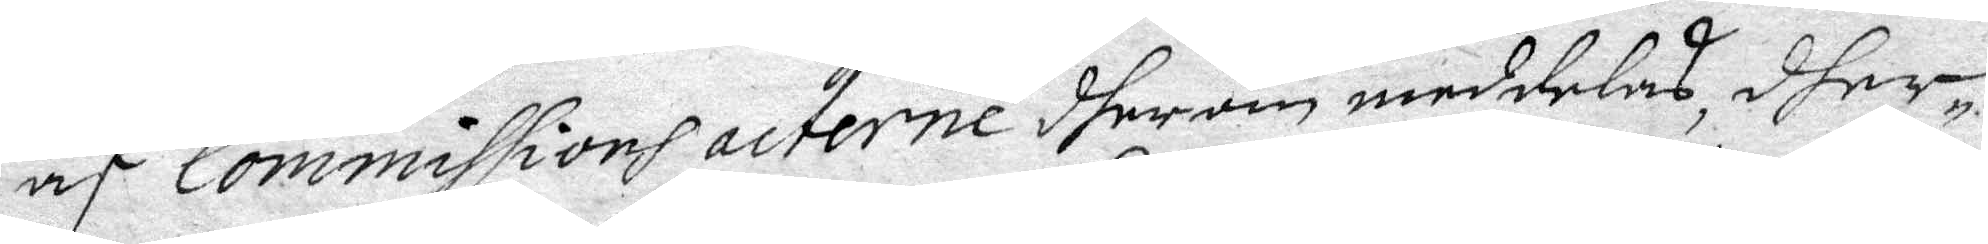af Commissions acterne dherom meddelas, dher
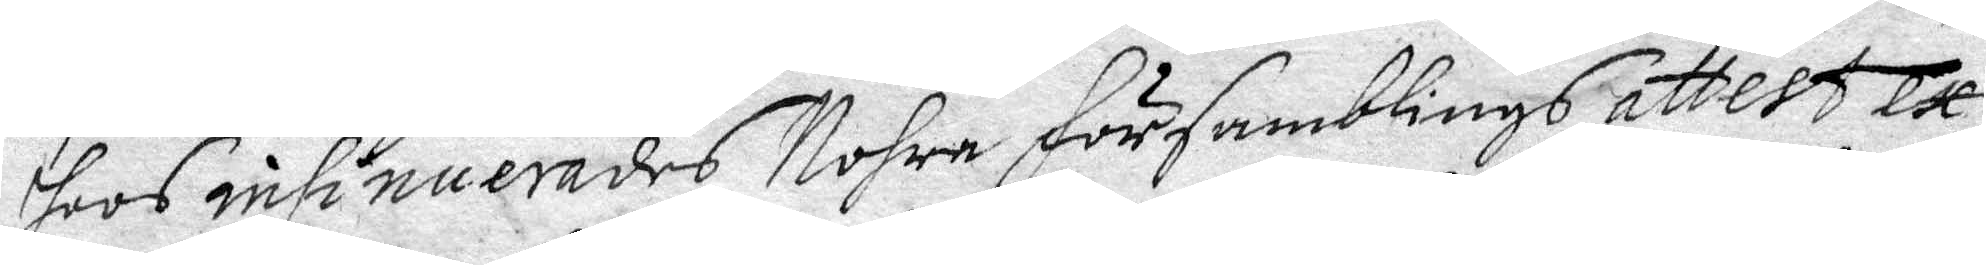hoos insinuerades Nohre församblings attest ex
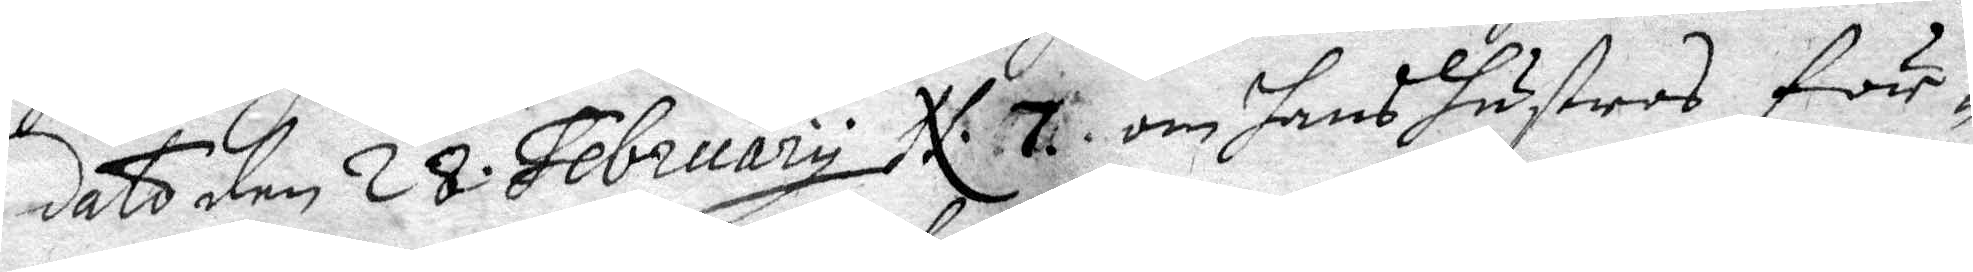dato den 28 February N. 7. om hans hustrus för¬
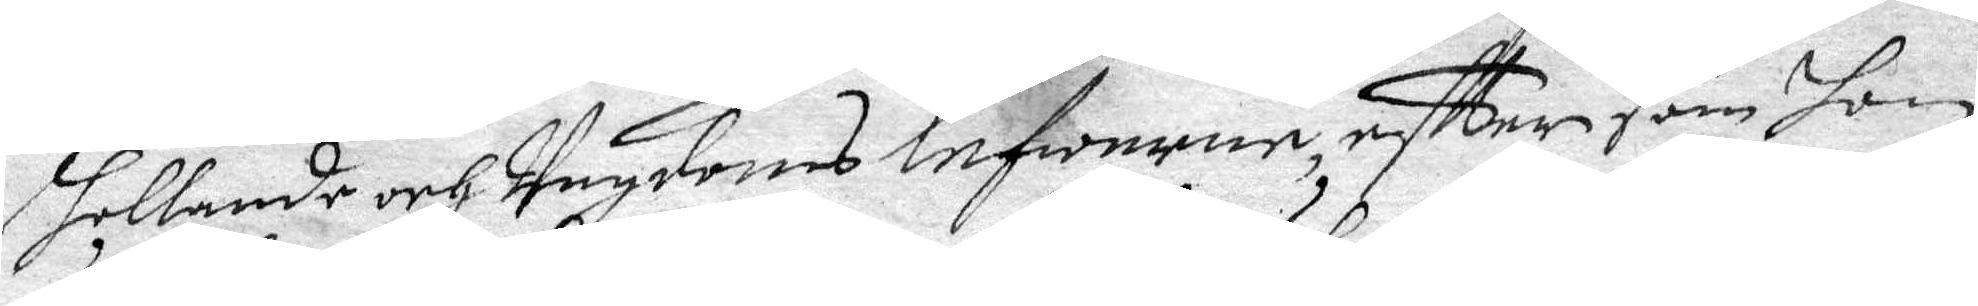hollande och Ungdoms lefwerne eftter som hon
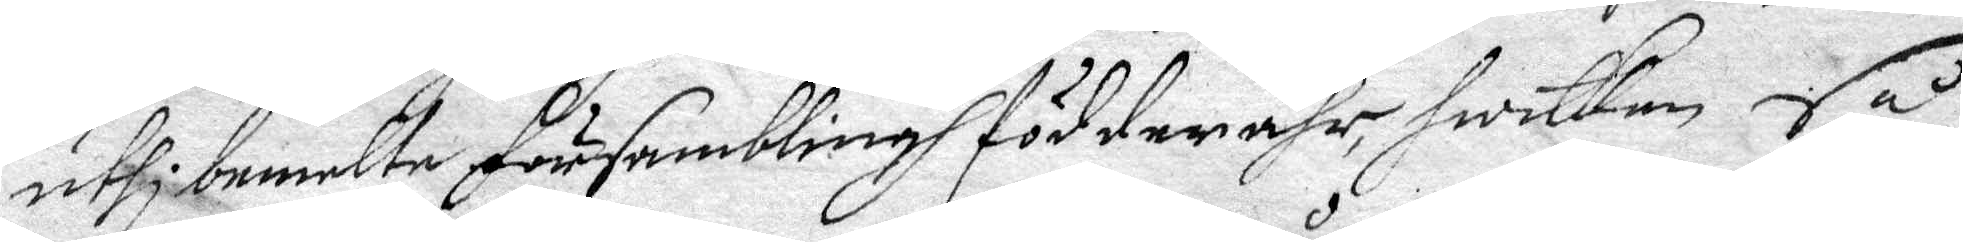uthi bemelte församblingh födder ähr, hwilken så
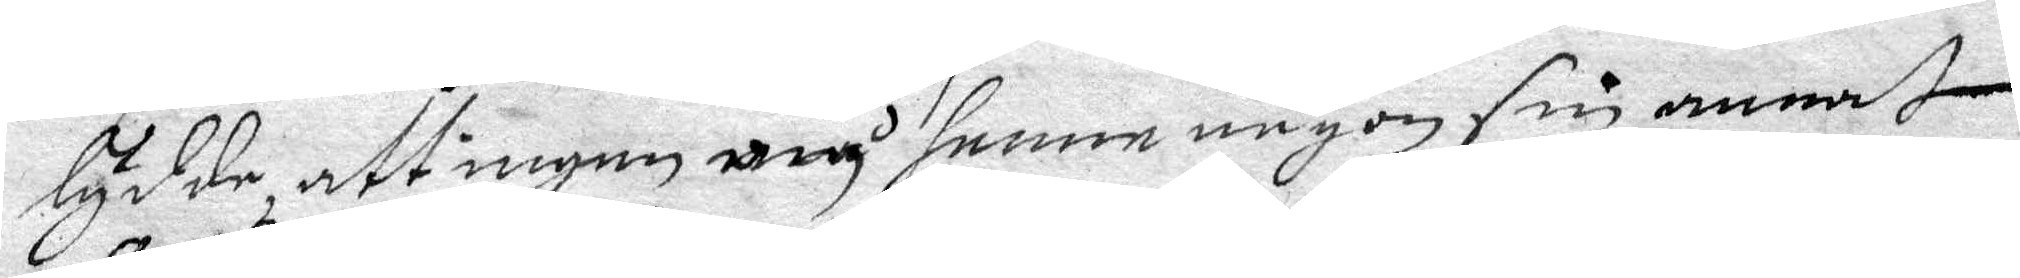lydde, att ingen må henne någon sin annat
